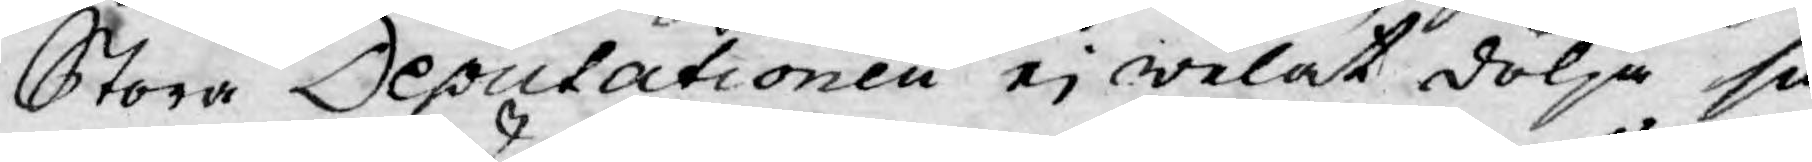Stora Deputationen ej welat dölja så
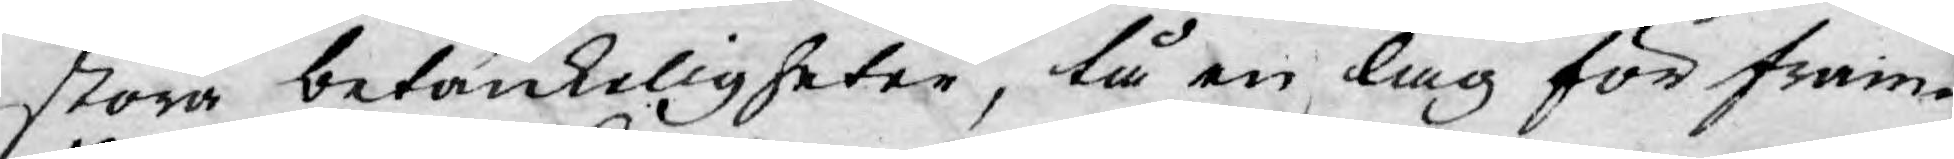stora betänkeligheter, tå en lag för fram¬
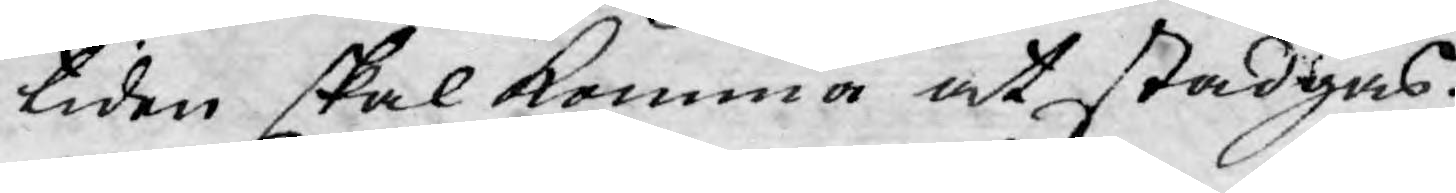tiden skal komma at stadgas.
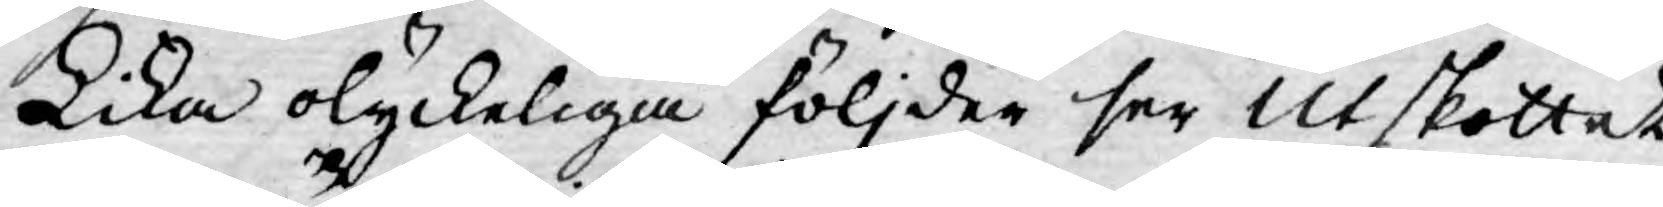Lika olyckeliga följder ser Utskottet
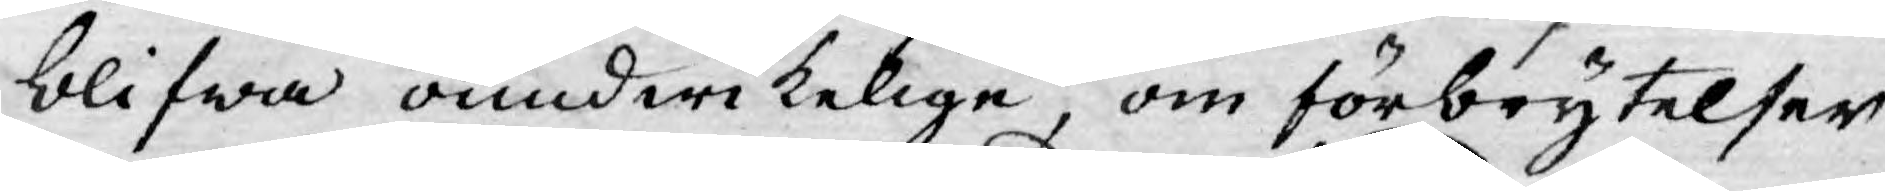blifwa oundwikelige, om förbrytelser
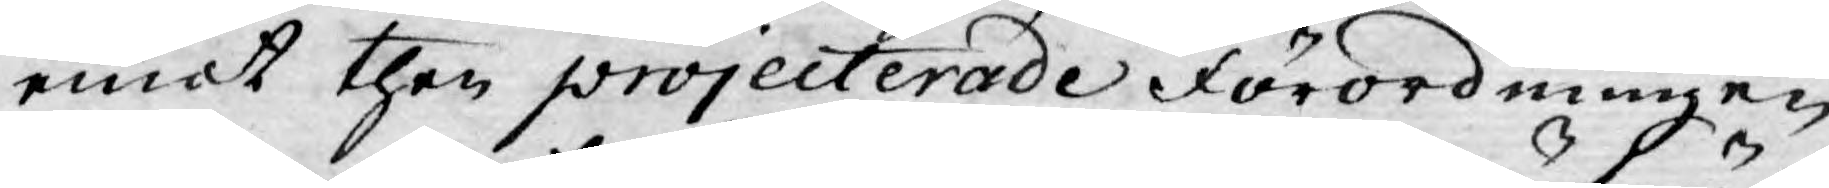emot then projecterade Förordningen
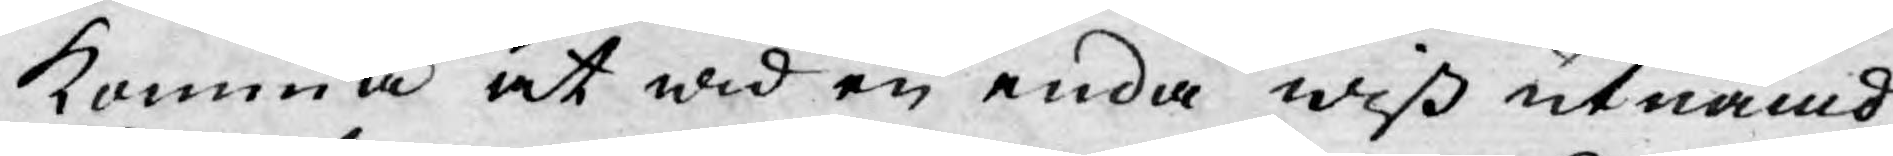komma at wid en enda wiss utnämd
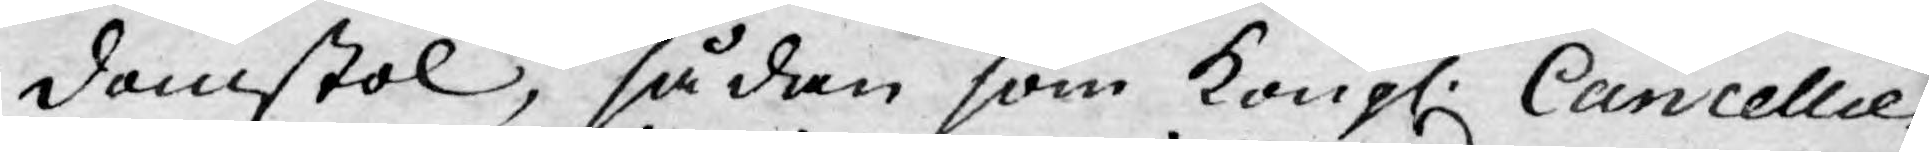domstol, sådan som Kongl: Cancellie¬
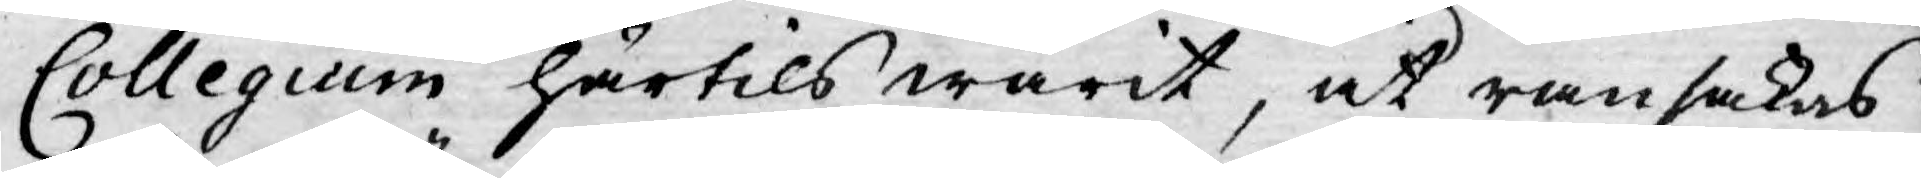Collegium härtils warit, at ransakas
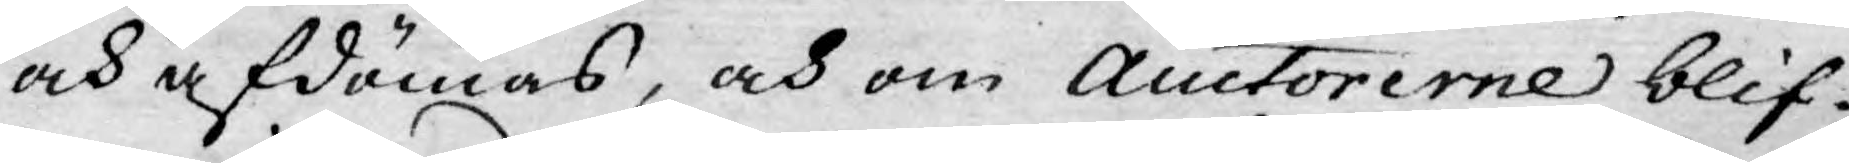och afdömas, och om Auctorerne blif¬
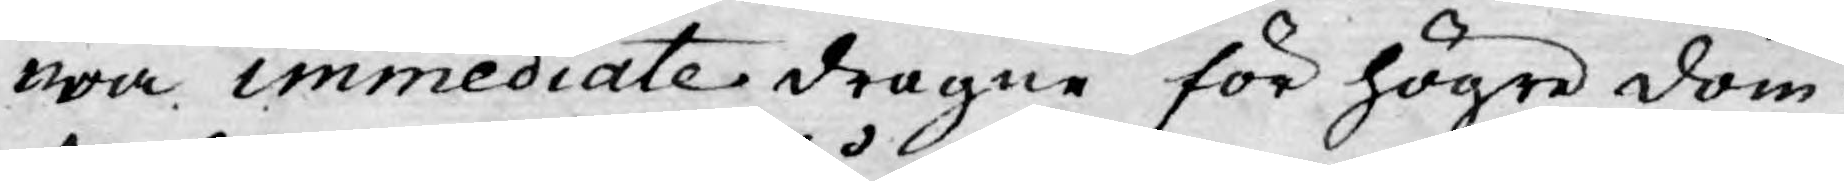wa immediate dragne för högre dom¬
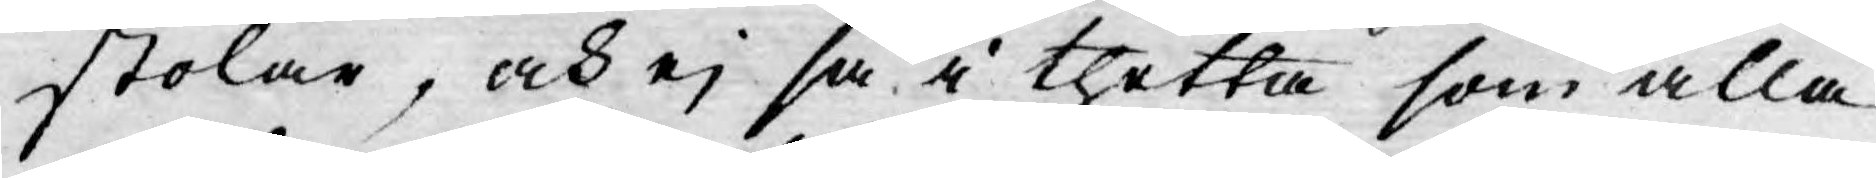stolar, och ej så i thetta som alla
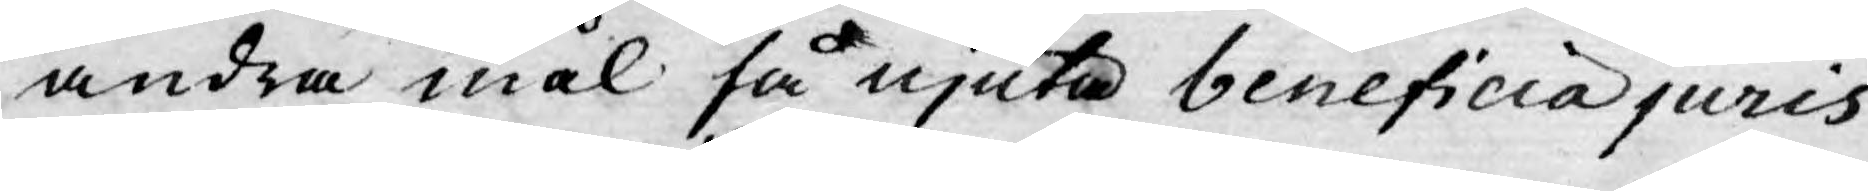andra mål få njuta beneficia juris
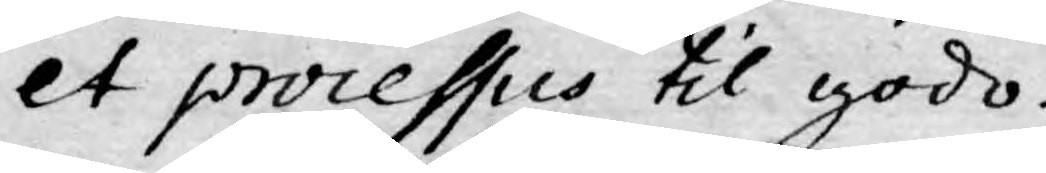et processus til godo.
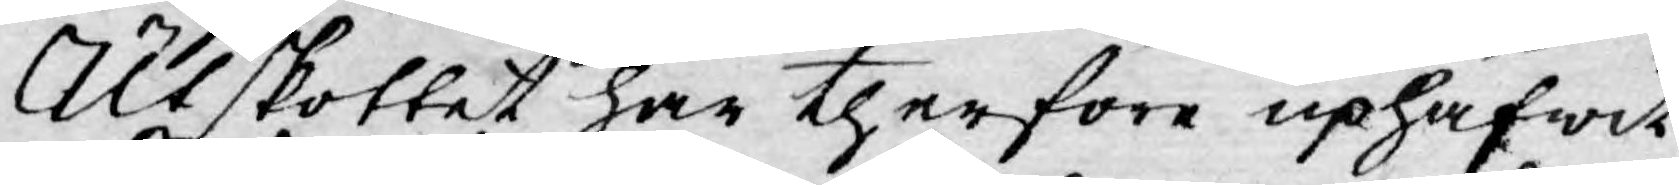Utskottet har therföre uphäfwit
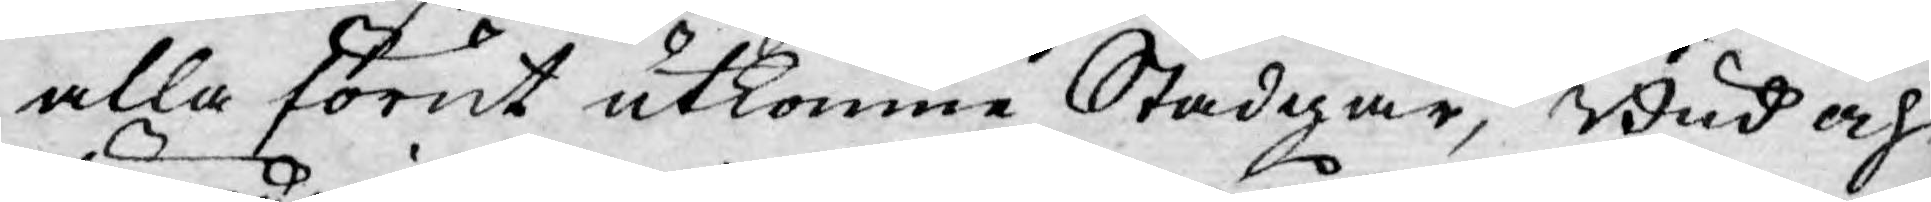alla förut utkomne Stadgar, Bud och
